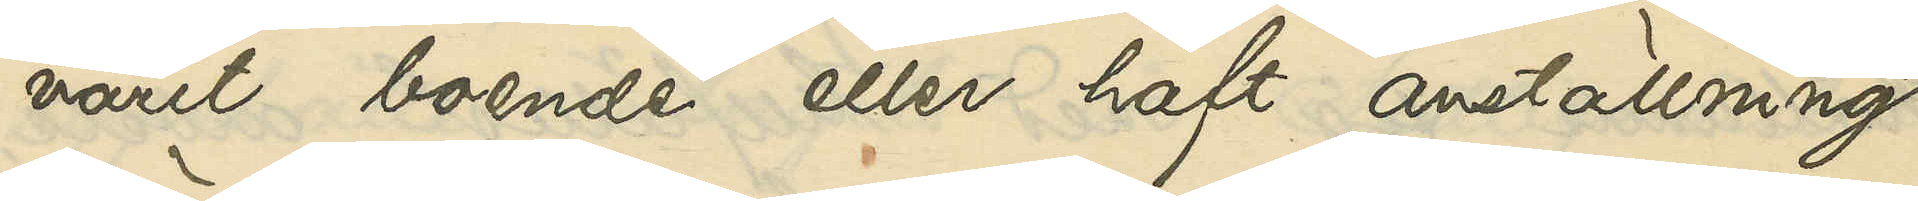varit boende eller haft anställning
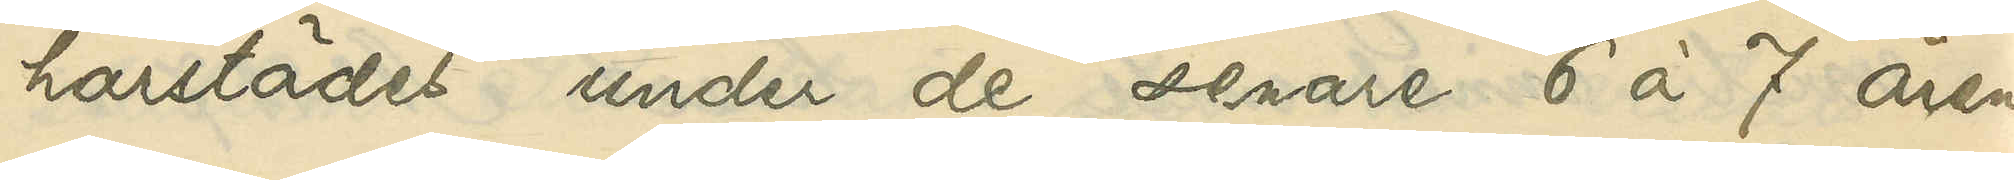härstädes de senare 6 à 7 åren.
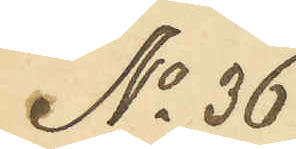No 36
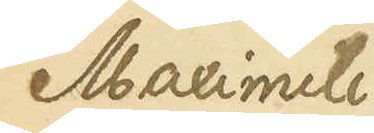Maximili¬
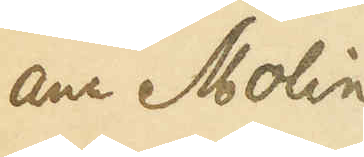ana Molin
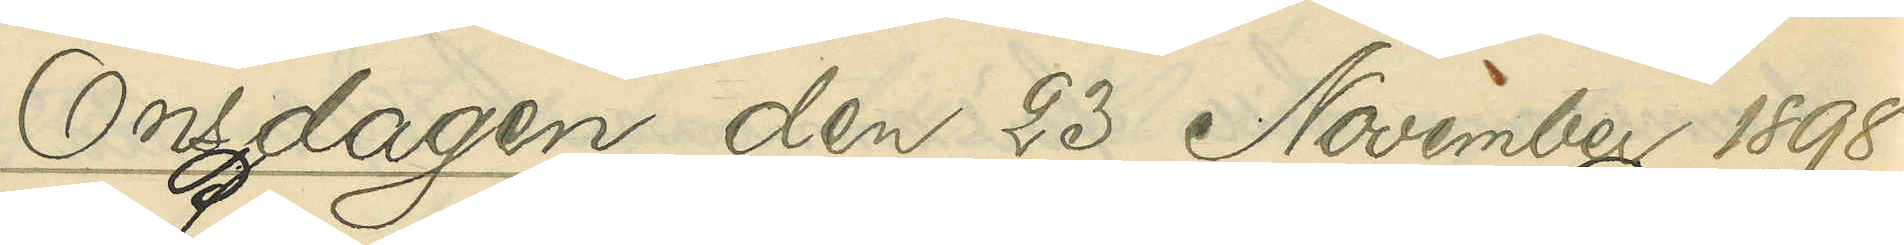Onsdagen den 23 November 1898.
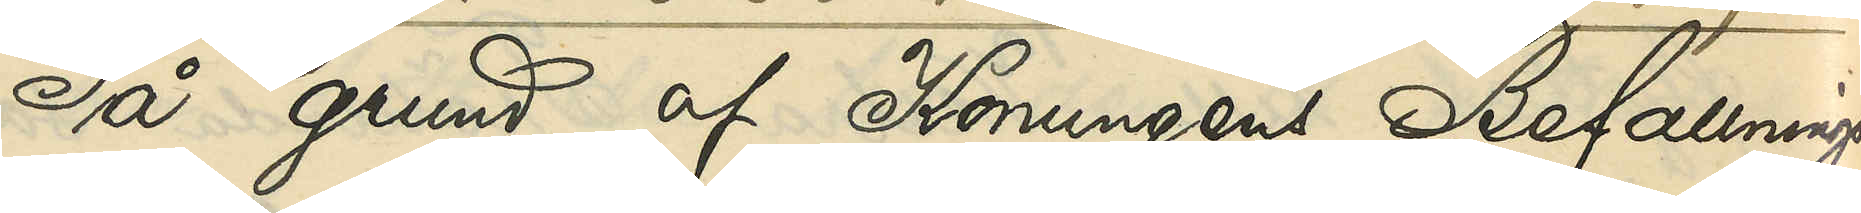På grund af Konungens Befallnings¬
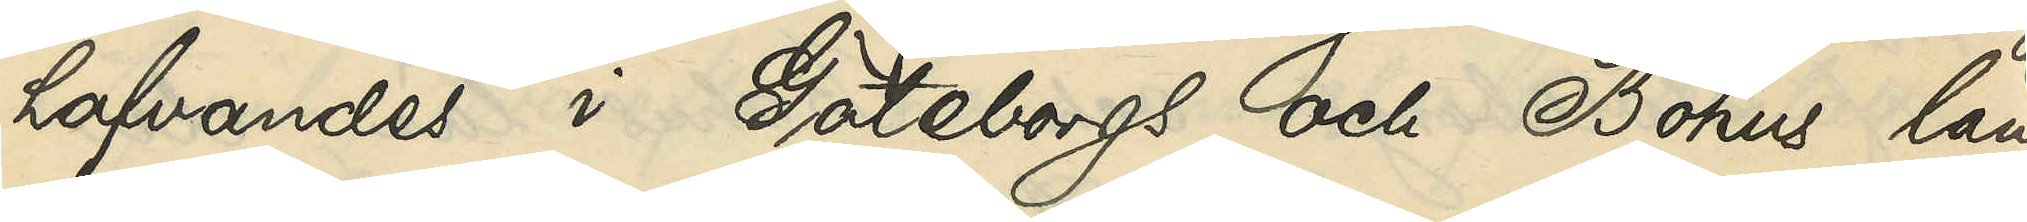hafvandes i Göteborgs och Bohus län
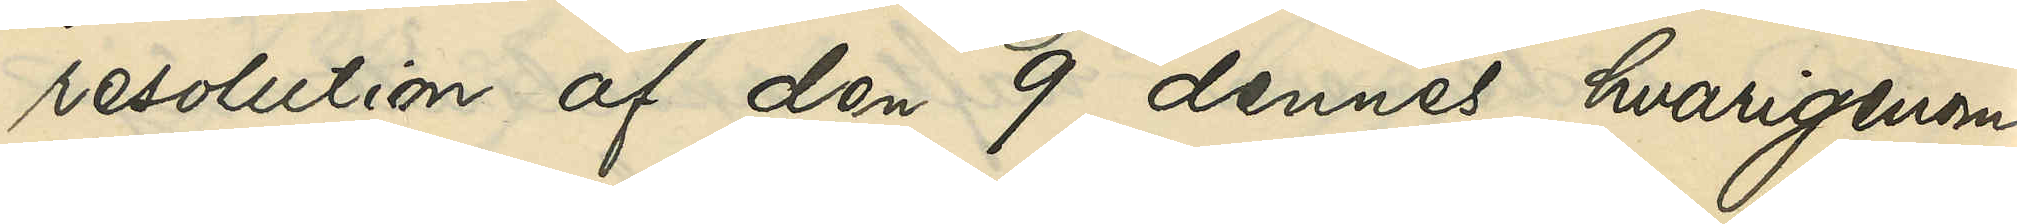resolution af den 9 dennes, hvarigenom
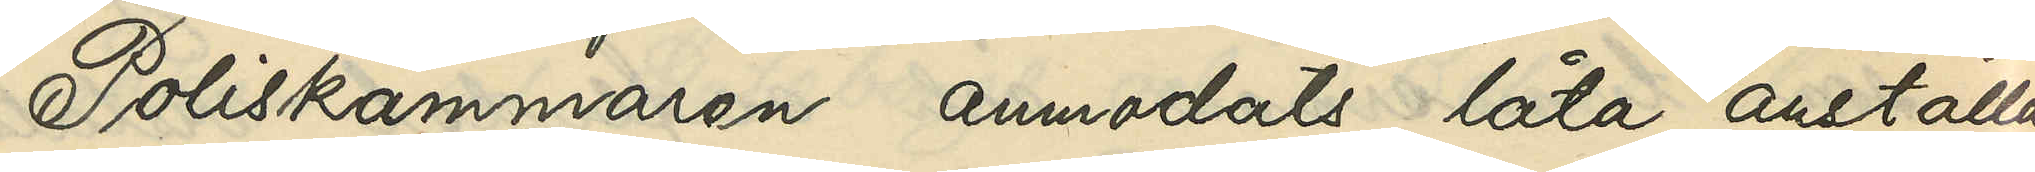Poliskammaren anmodats låta anställa
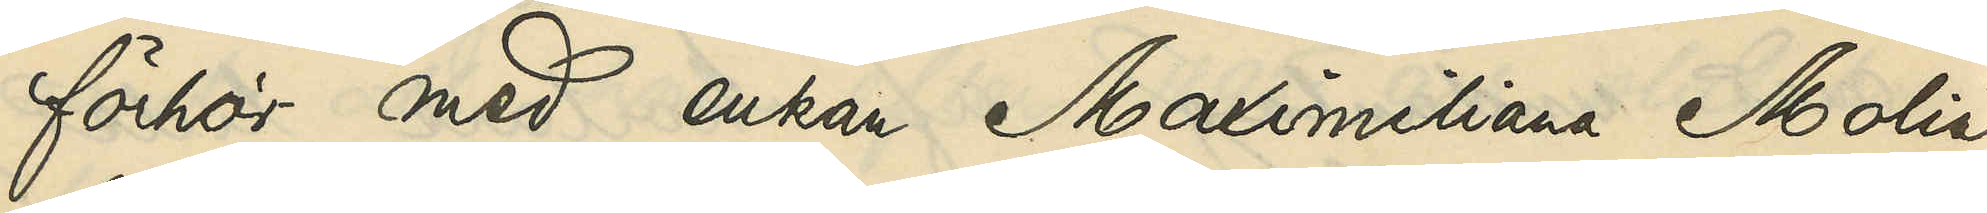förhör med enkan Maximiliana Molin
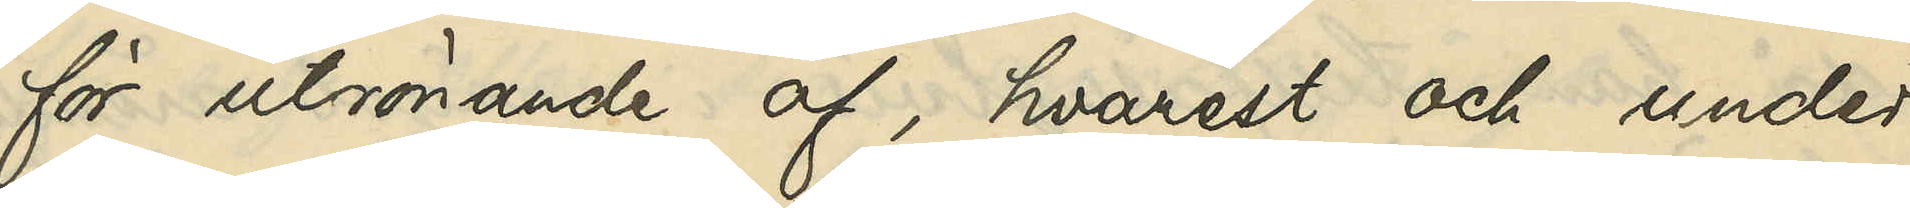för utrönande af, hvarest och under
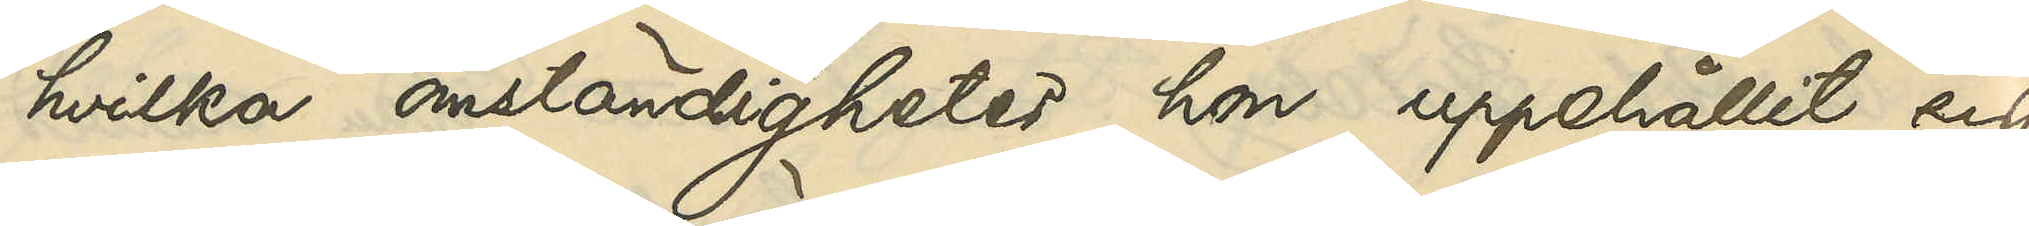hvilka omständigheter hon uppehållit sig
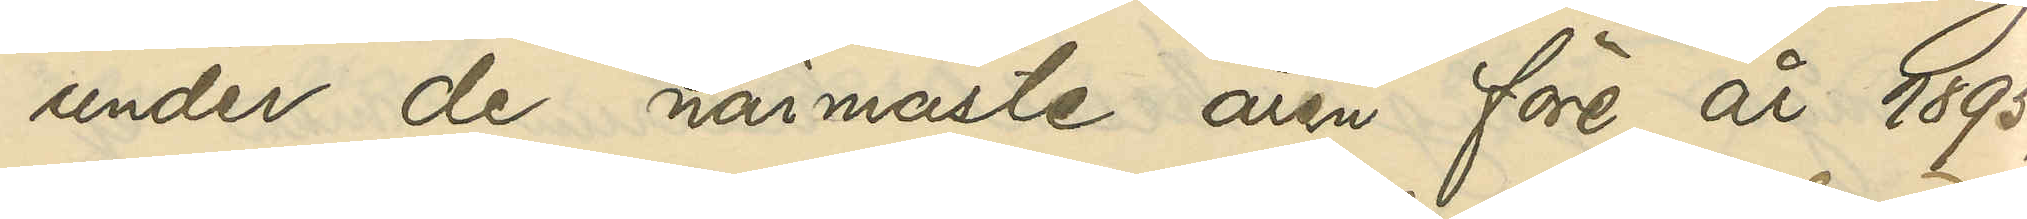under de närmaste åren före år 1895,
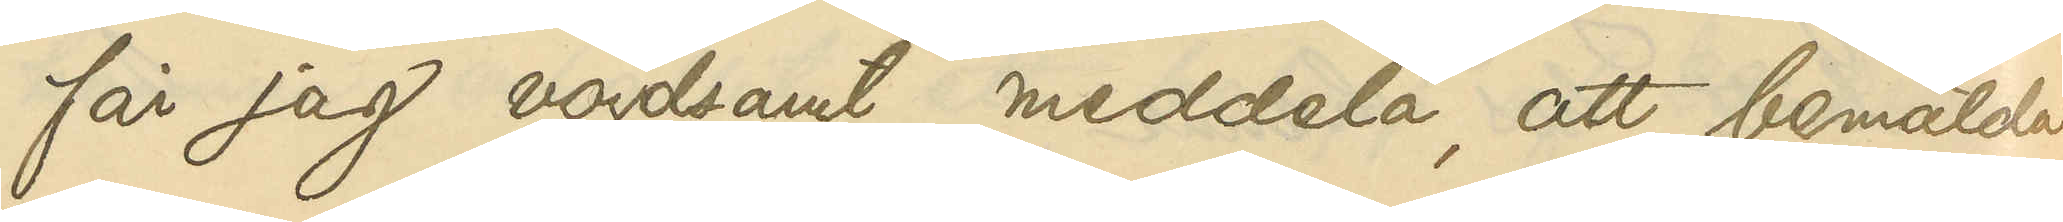får jag vördsamt meddela, att bemälda
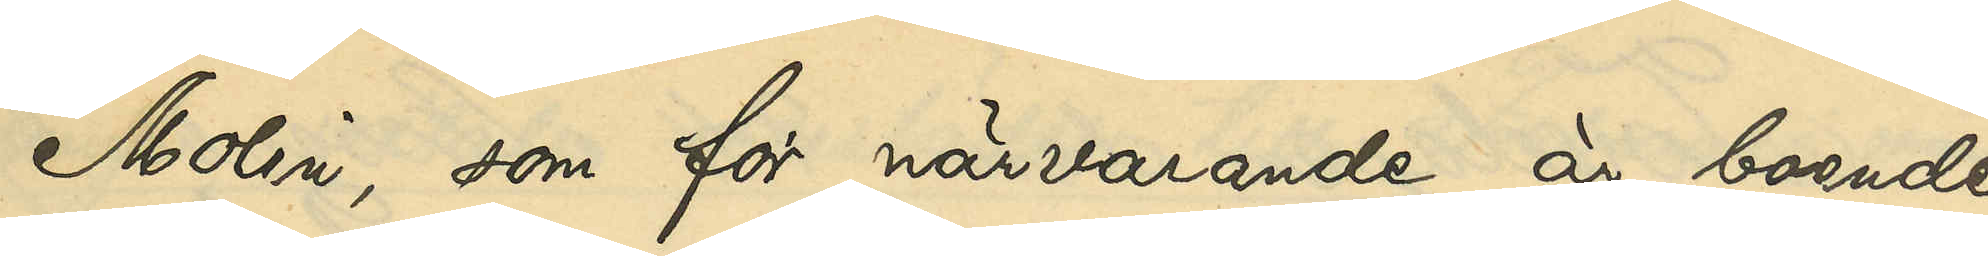Molin, som för närvarande är boende
